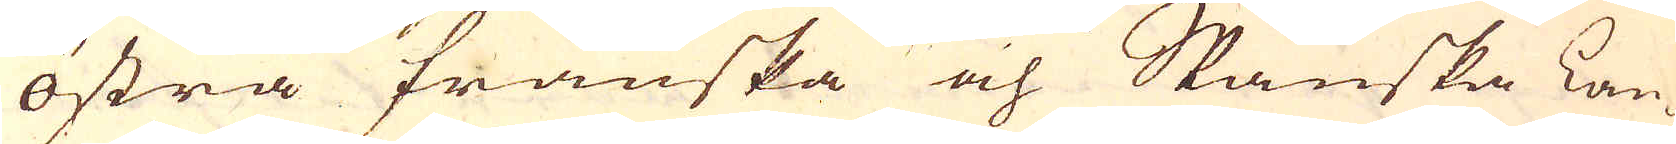östra franska och Spanska Lan-
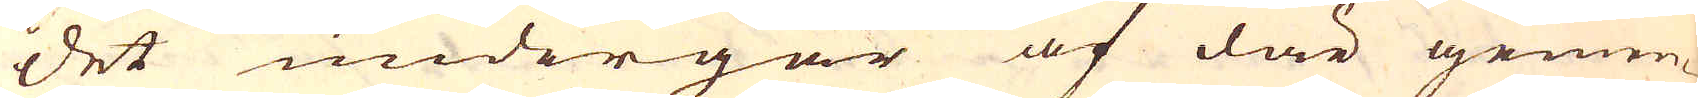det undergår af där gemen-
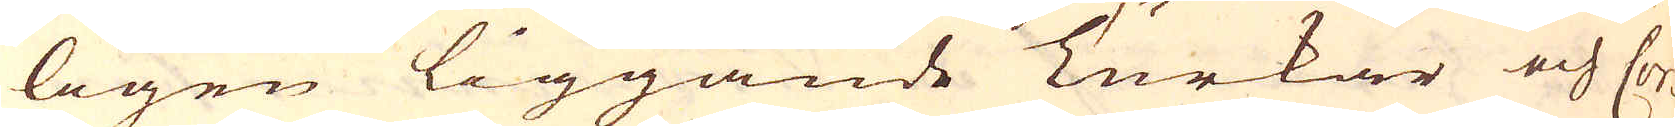ligen liggande Turkar och Cor-
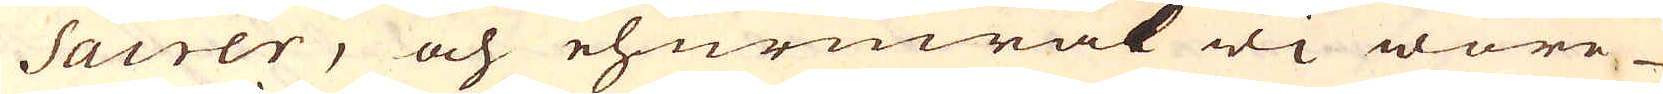sairer, och ehuruwäl wi wore
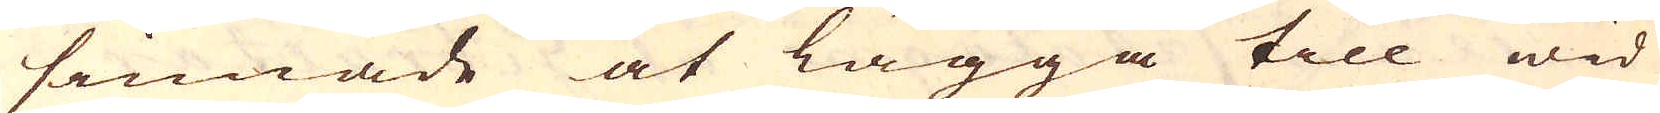sinnade at lägga till wid
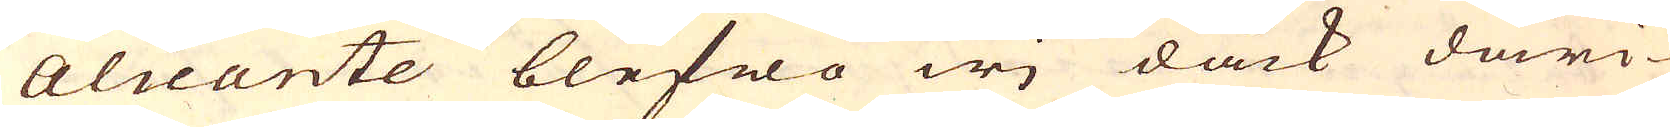Alicante blefwo wi dåck däri-
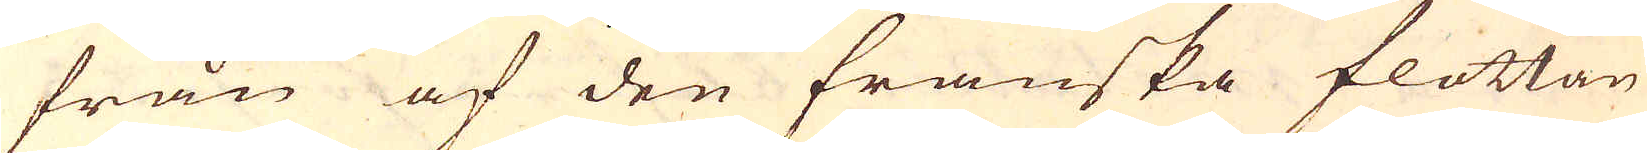från af den franska flottan
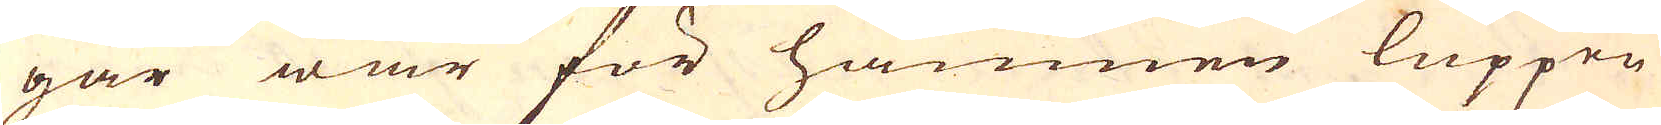gar war för hamnen luppen
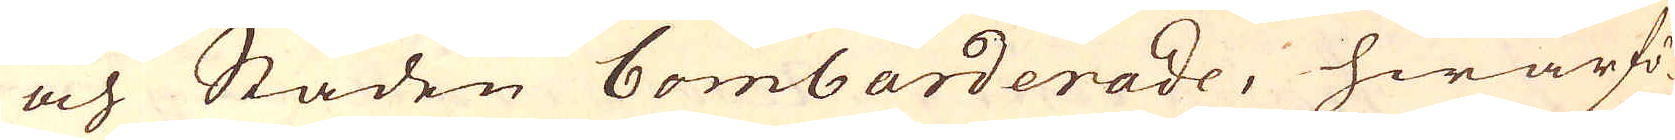och Staden bombarderade, hwarfö-
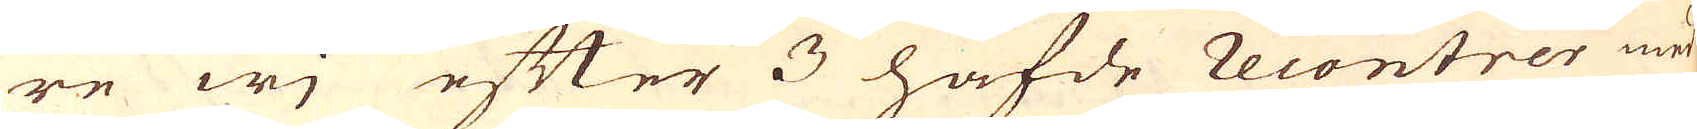re wj efter 3 hafde recontrer med
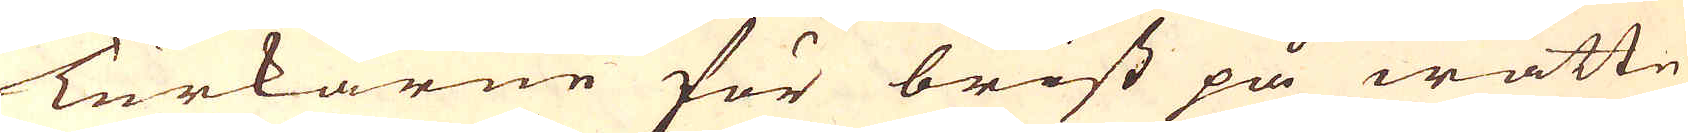Turkarne för brist på wattn
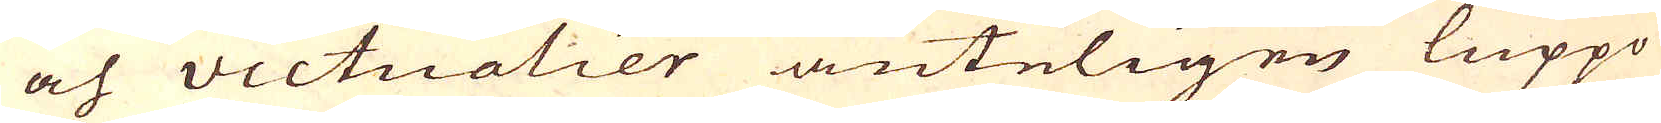och victualier änteligen luppo
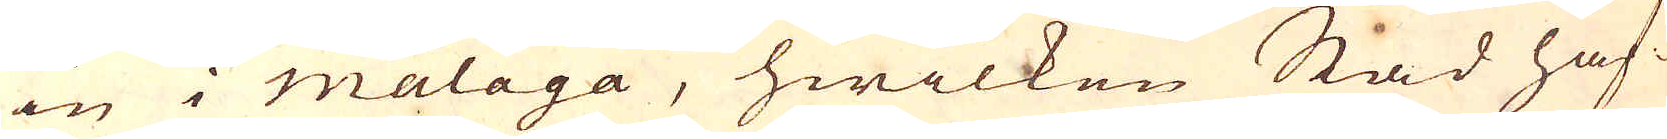in i malaga, hwilken Stad haf-
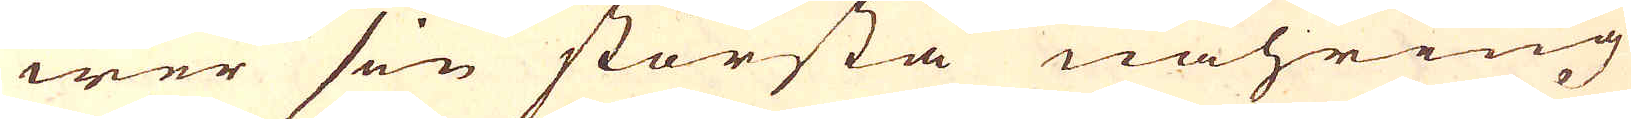wer sin största nähring
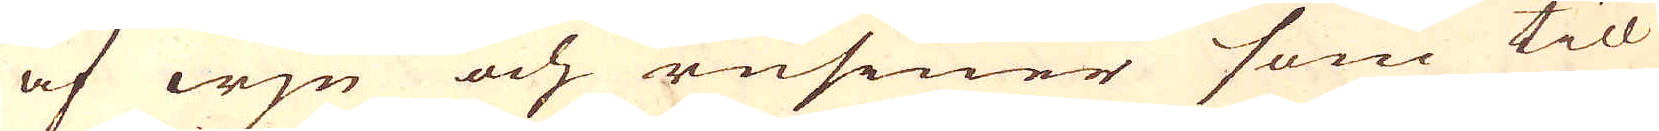af wjn och rusiner som till
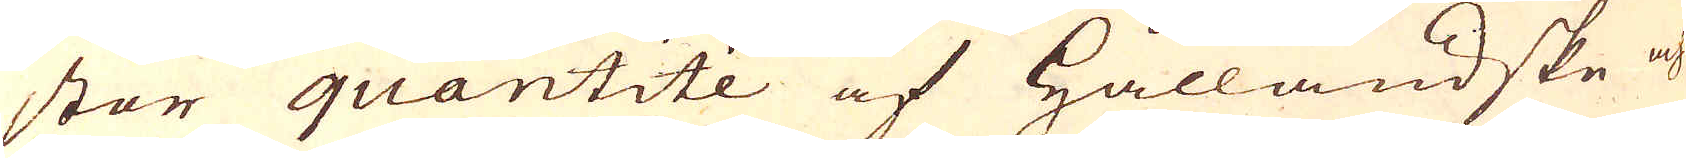stor quantité af Hålländske och
